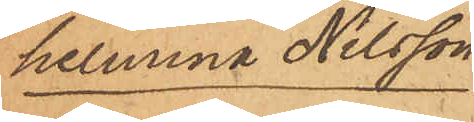helmina Nilsson
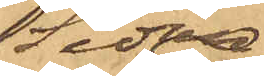Sedan
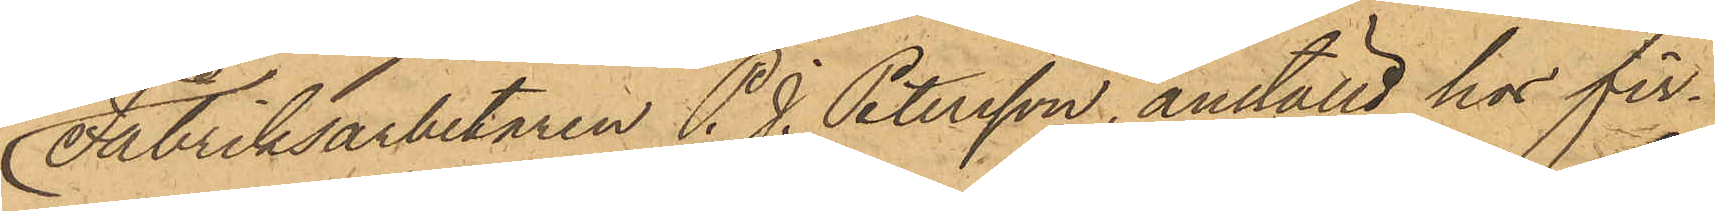Fabriksarbetaren P. J. Petersson, anställd hos fir¬
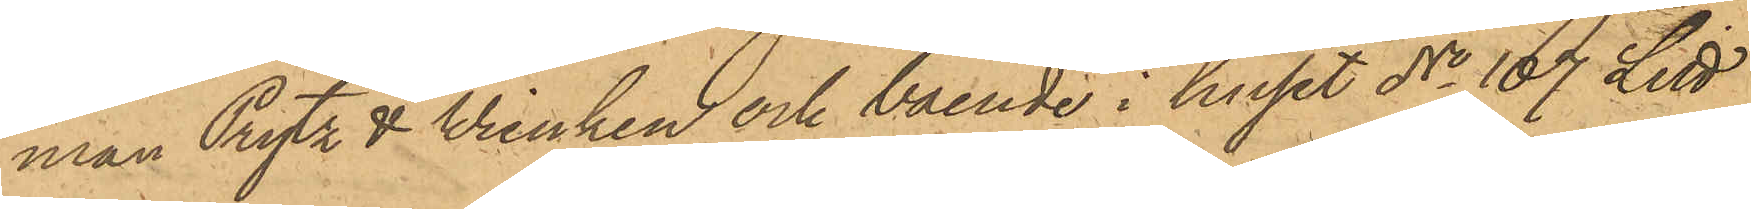man Prytz & Wienken och boende i huset No 107 Litt
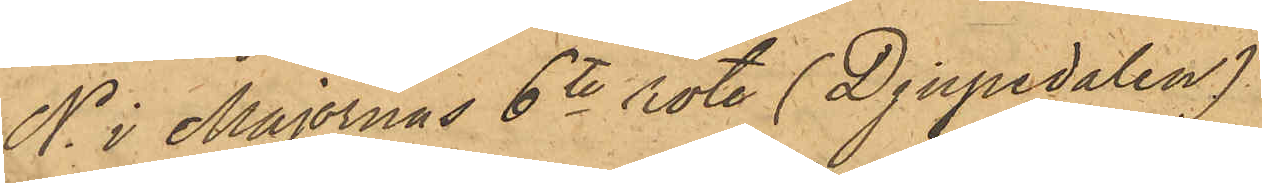N. i Majornas 6te rote (Djupedalen)
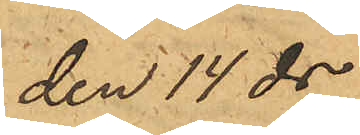den 14 ds
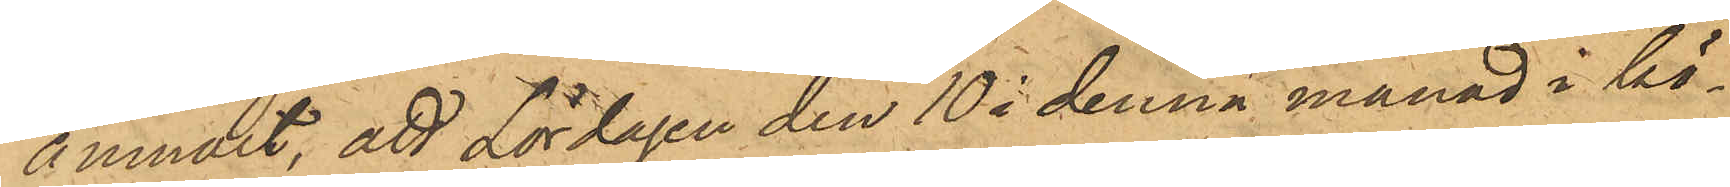anmält, att Lördagen den 10 i denna månad i kö¬
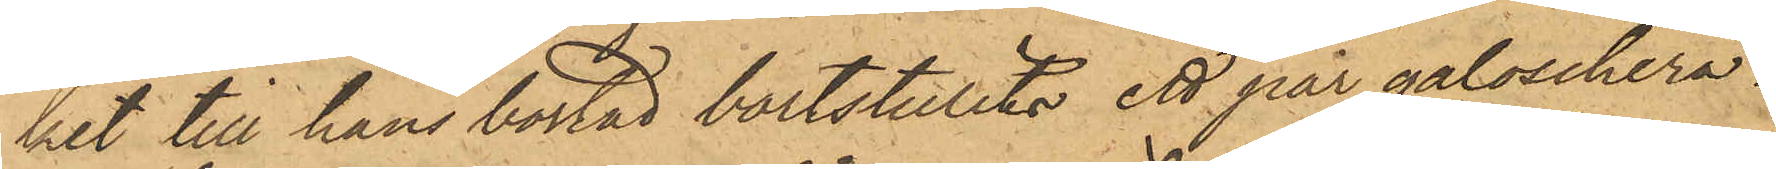ket till hans bostad bortstulits ett par galoschera¬
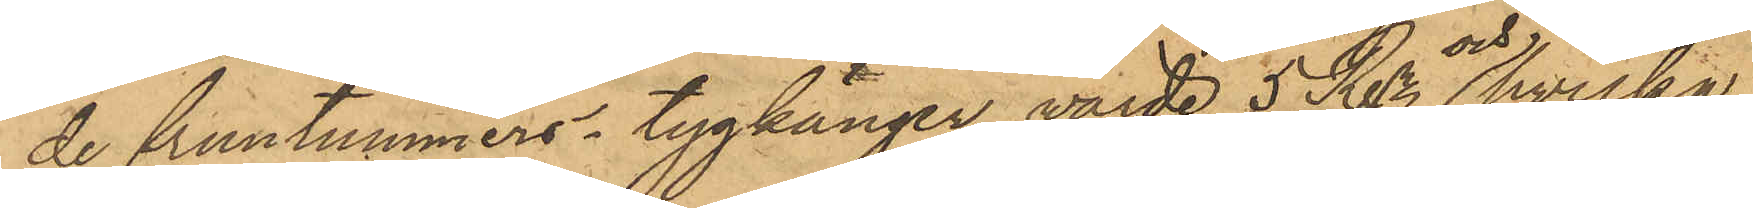de fruntimmers-tygkänger, värde 5 Rdr  och hvilka
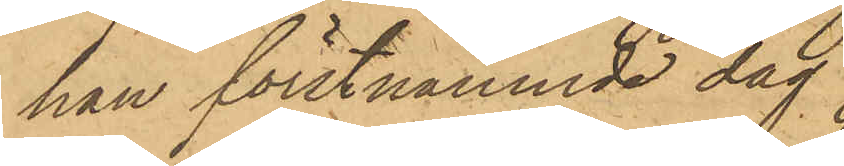han förstnämnde dag
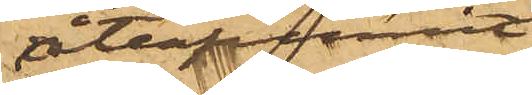återfunnit
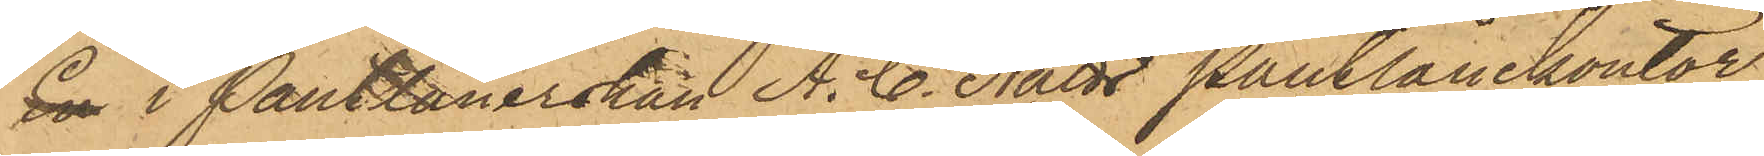 i Pantlånerskan A. C. Nätts Pantlånekontor
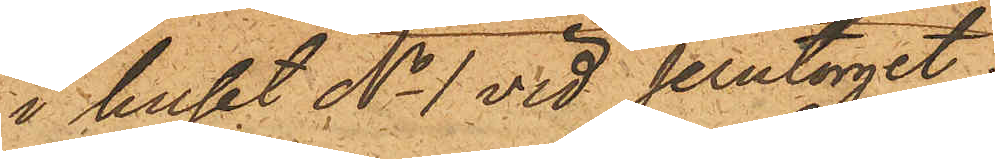i huset No 1 vid Jerntorget.
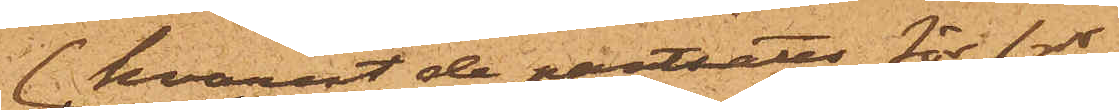hvarest de pantsatts för 1 rdr,
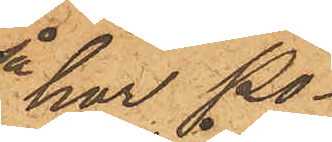 har Po¬
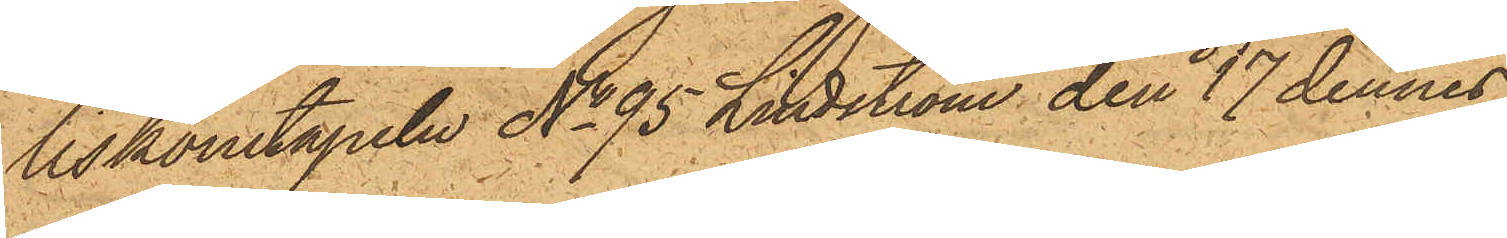liskonstapeln No 95 Lindström den 17 dennes
